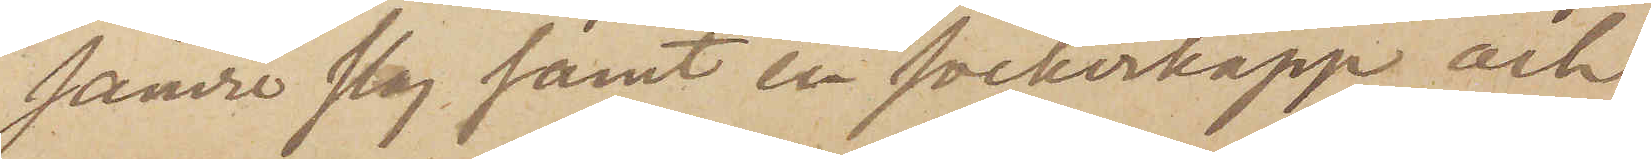sämre slag samt en sockerkopp och
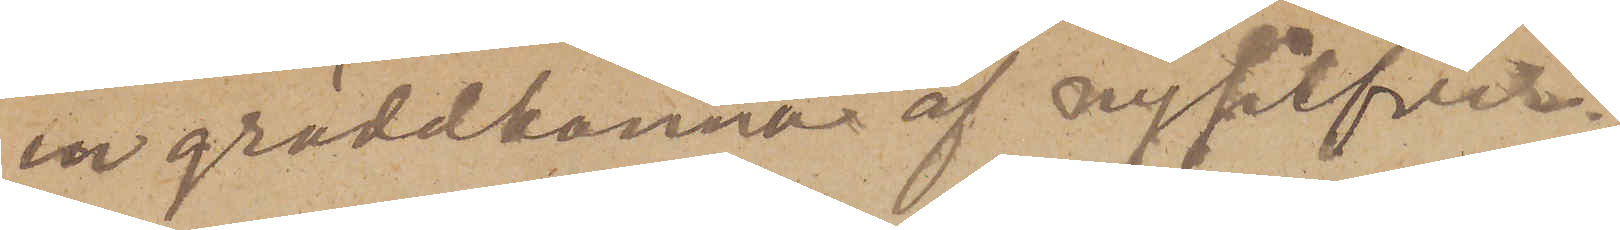en gräddkanna af nysilfver.
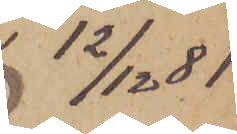12/12  81
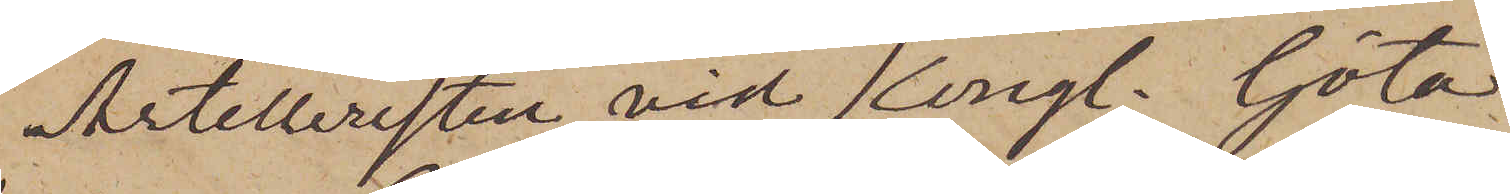Artilleristen vid Kongl. Göta
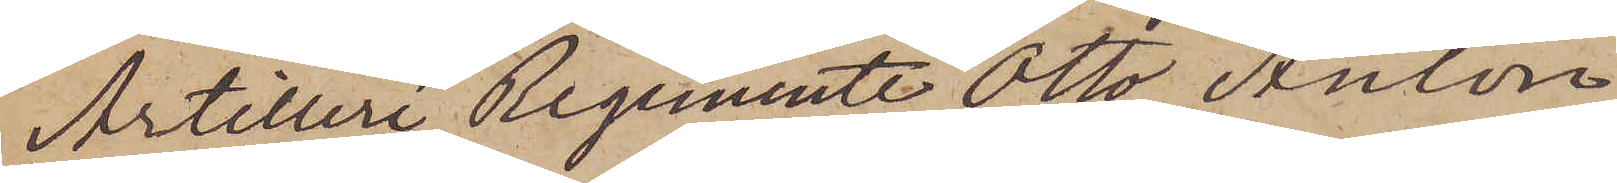Artilleri Regemente Otto Anton
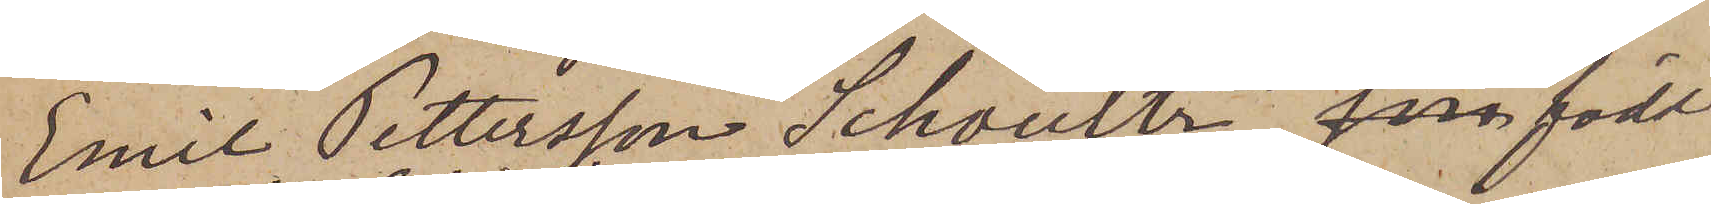Emil Pettersson Schoultz, som född
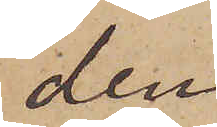den
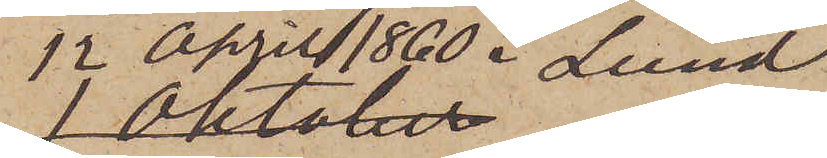12 April 1860 i Lund,
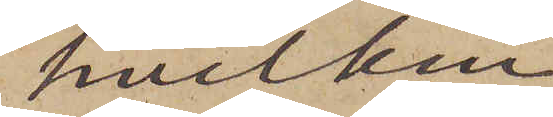hvilken
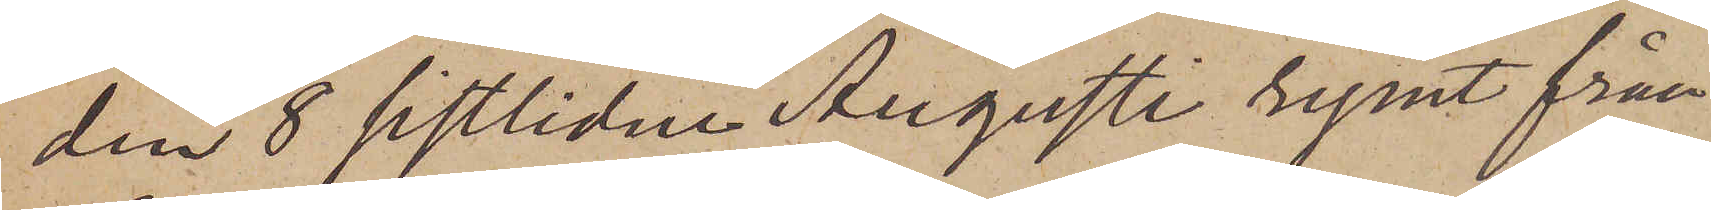den 8 sistlidne Augusti rymt från
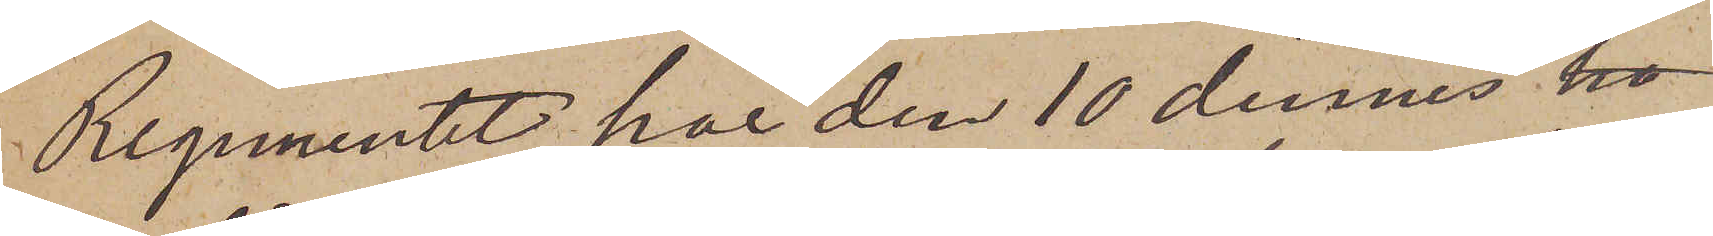Regementet, har den 10 dennes ho
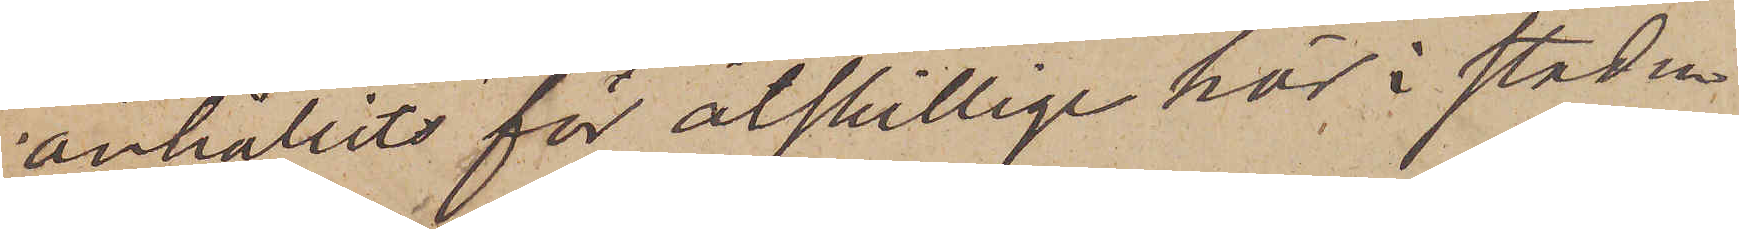anhållits för åtskillige här i staden
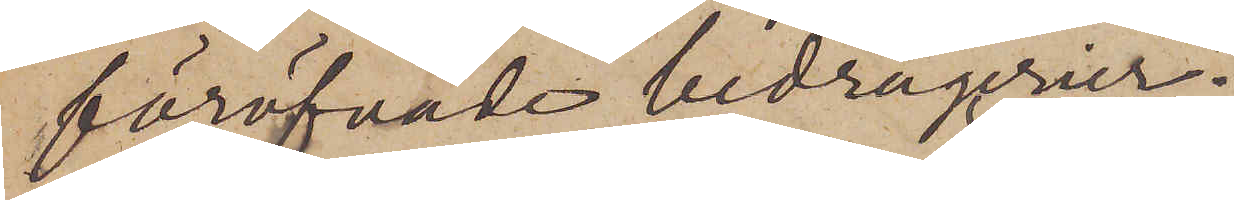föröfvade bedrägerier.
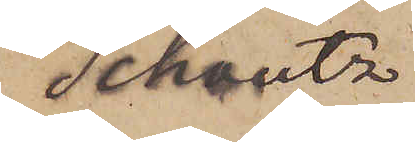Schoultz
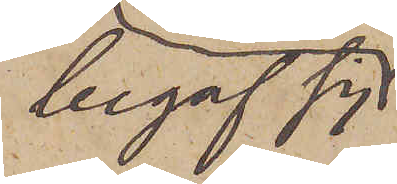begaf sig
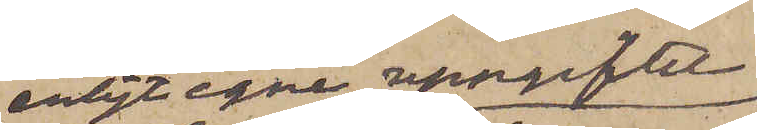enligt egne uppgifter
